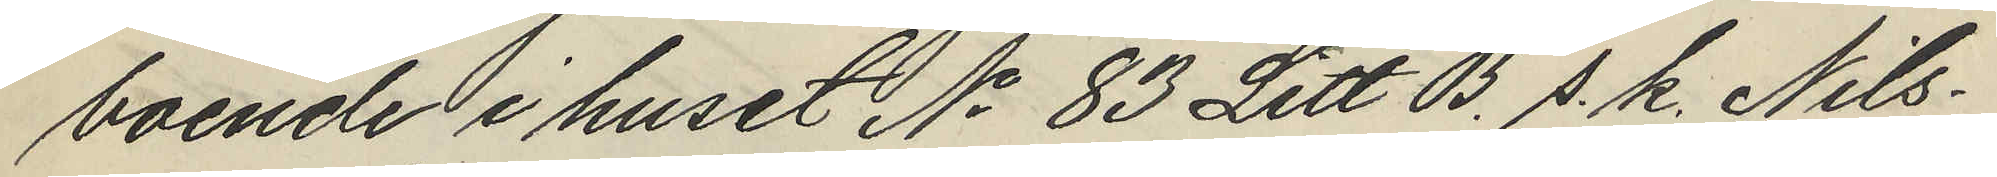boende i huset No 83 Litt. B. s. k. Nils¬
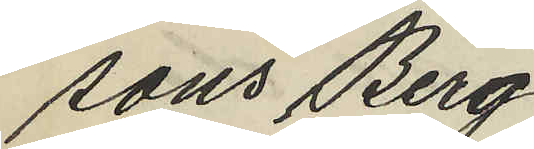sons Berg.
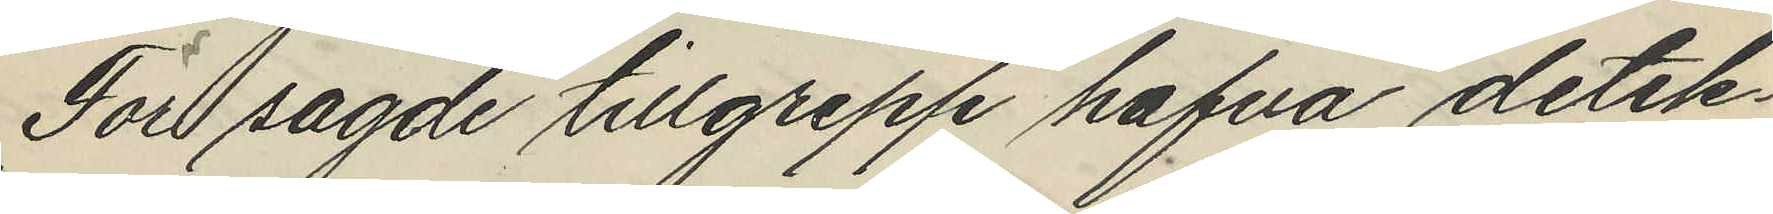För sagde tillgrepp hafva detek¬
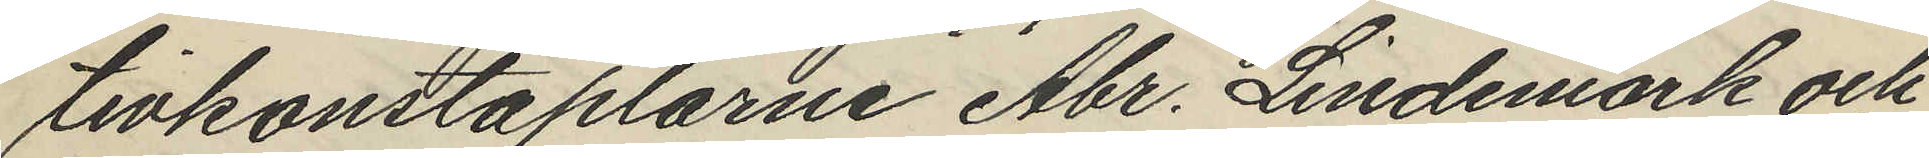tivkonstaplarne Abr. Lindemark och
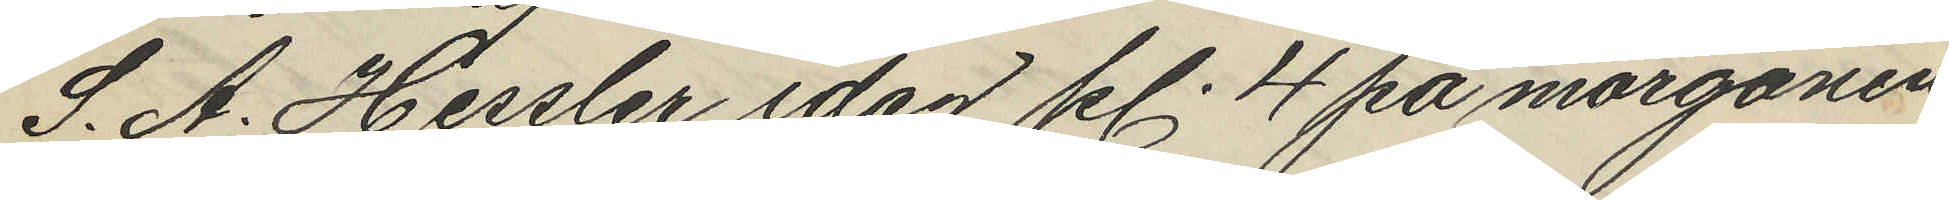S. A. Hessler idag kl. 4 på morgonen
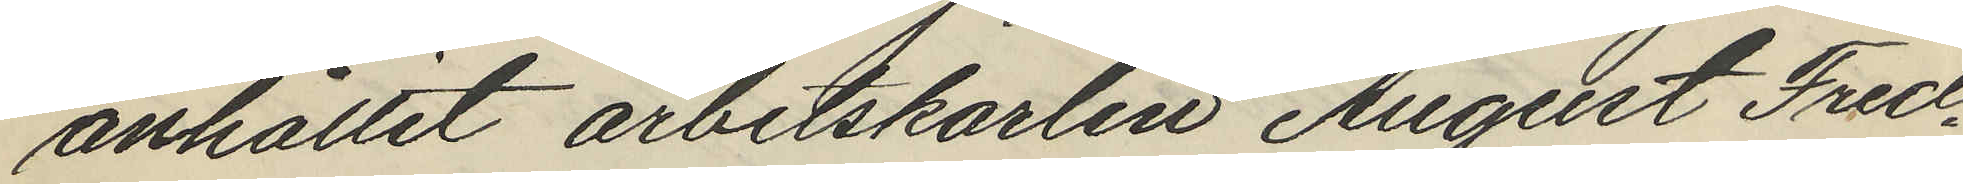anhållit arbetskarlen August Fred¬
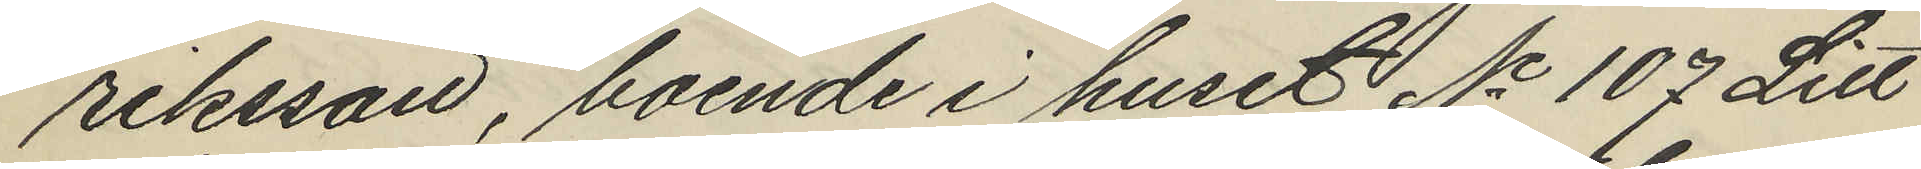riksson, boende i huset No 107 Litt
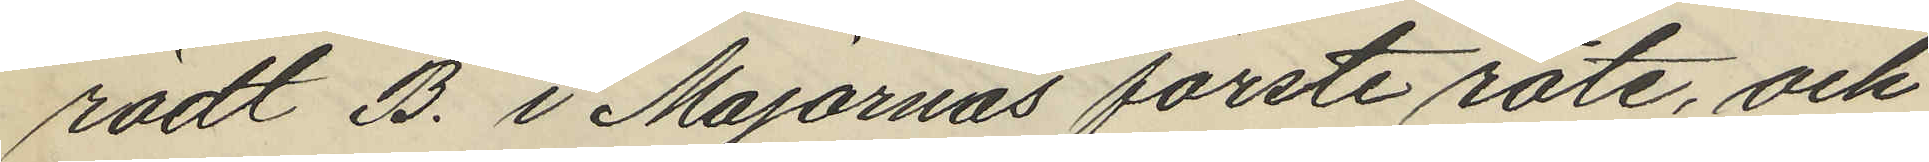rödt B. i Majornas förste rote, och
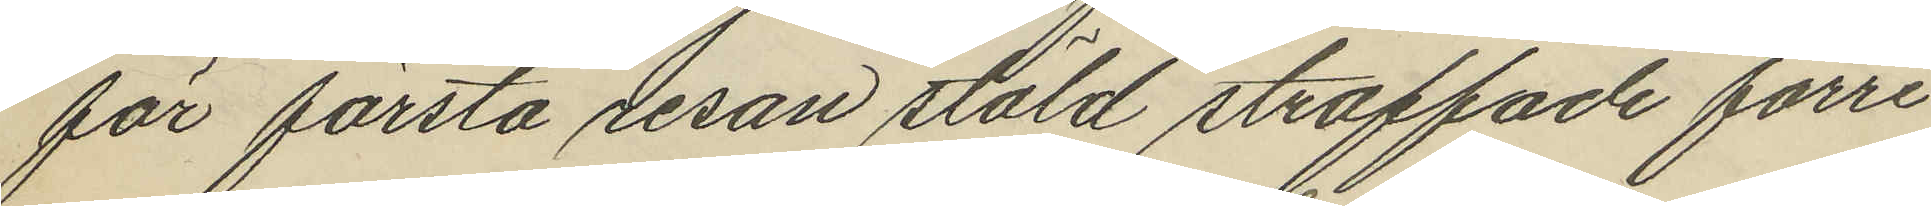för första resan stöld straffade förre
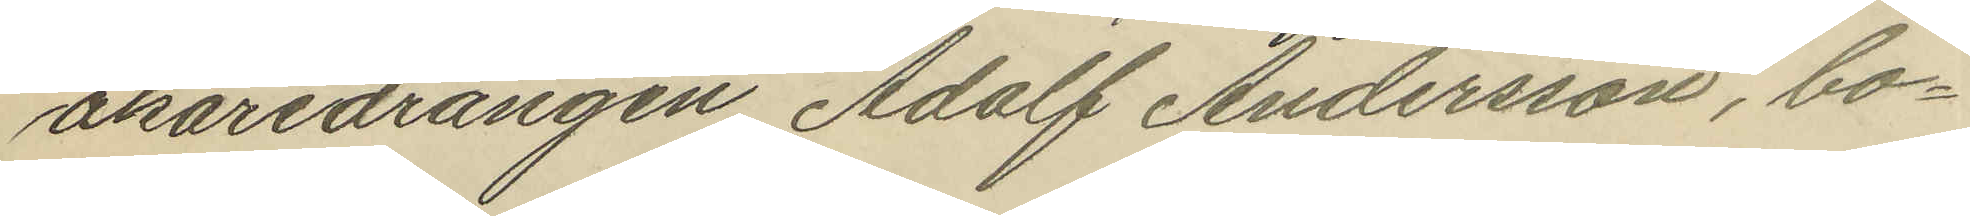åkaredrängen Adolf Andersson, bo¬
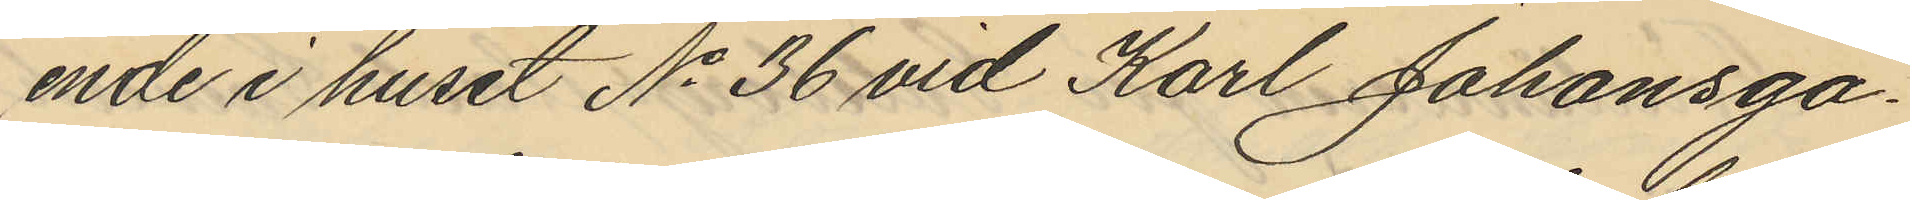ende i huset No 36 vid Karl Johansga¬
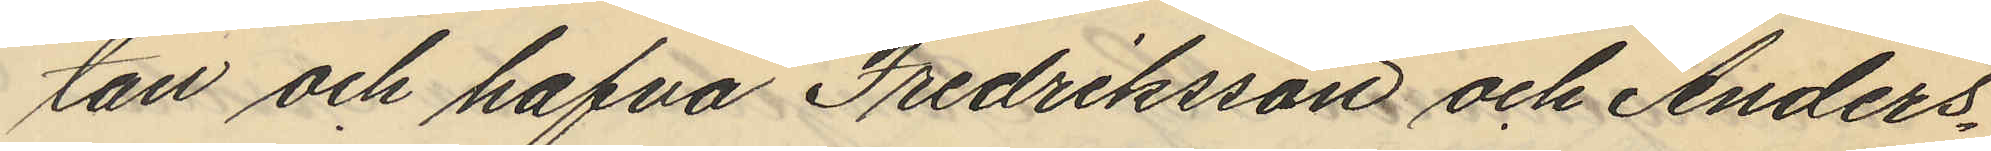tan och hafva Fredriksson och Anders¬
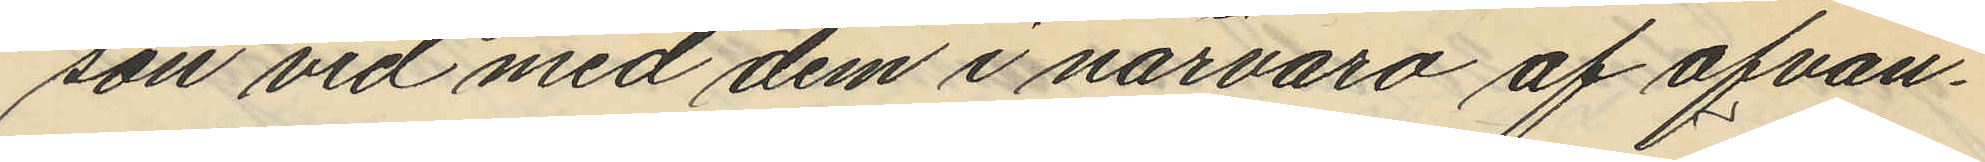son vid med dem i närvaro af ofvan¬
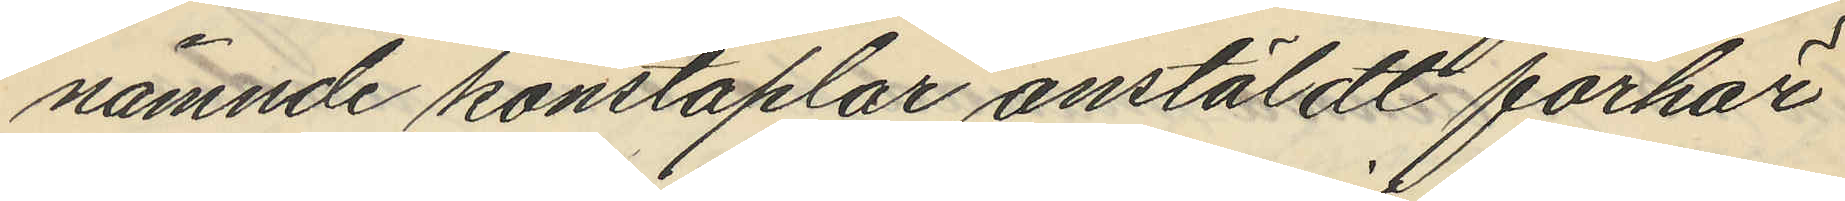nämnde konstaplar anstäldt förhör
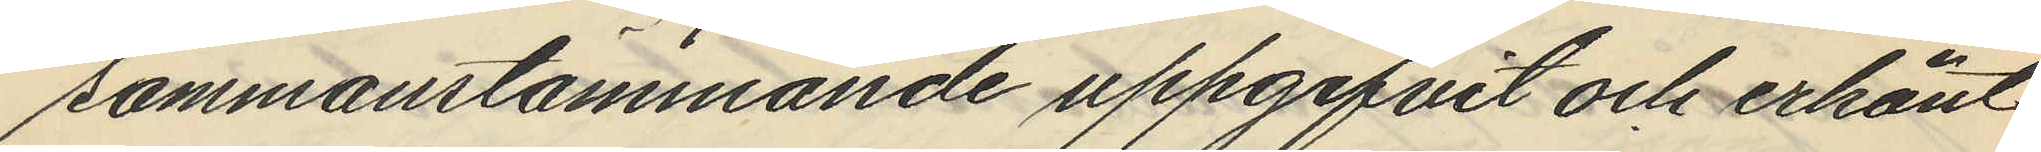sammanstämmande uppgifvit och erkänt
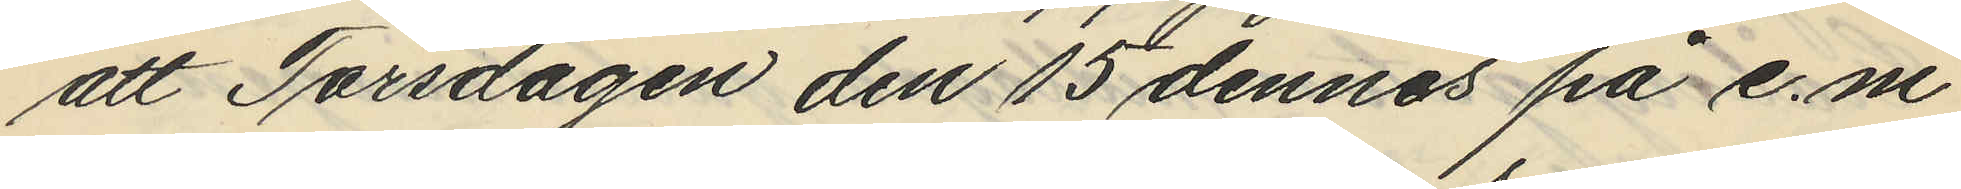att Torsdagen den 15 dennes på e.m
